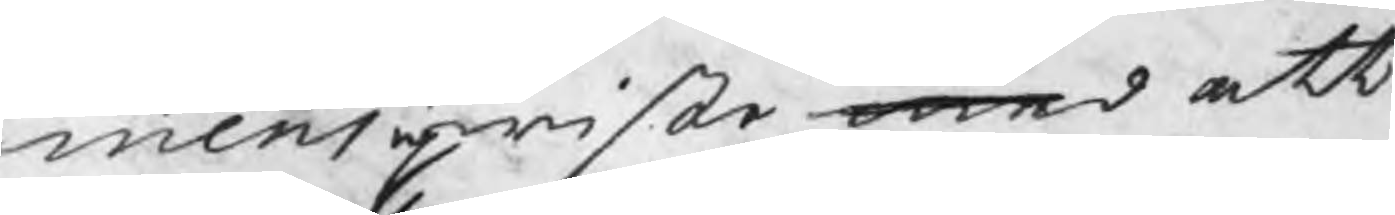mens upwiste med ett
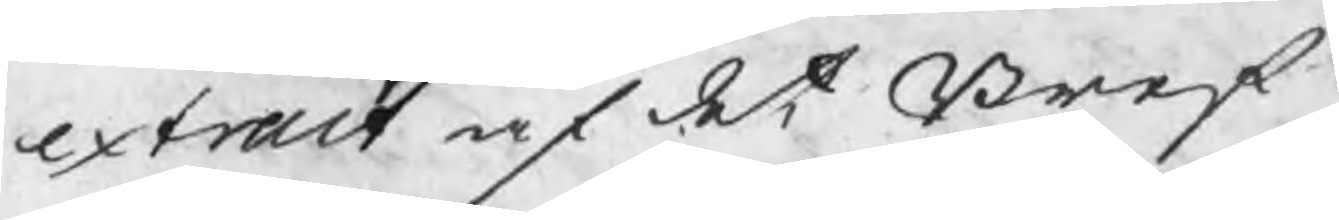extract af det Bref
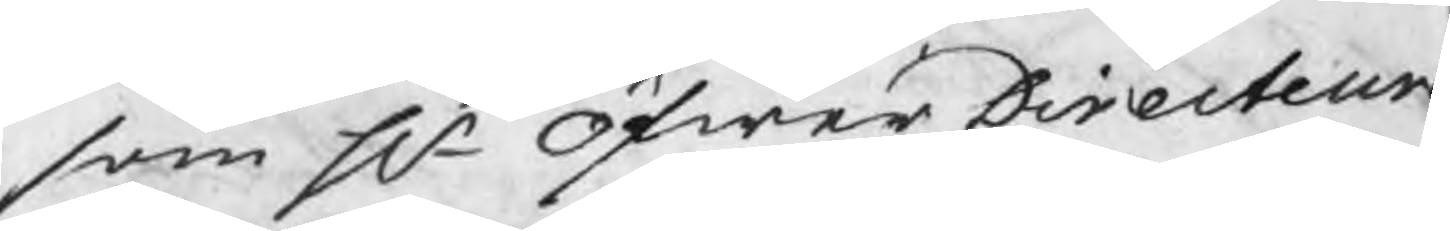som Hr Öfwer Directeure
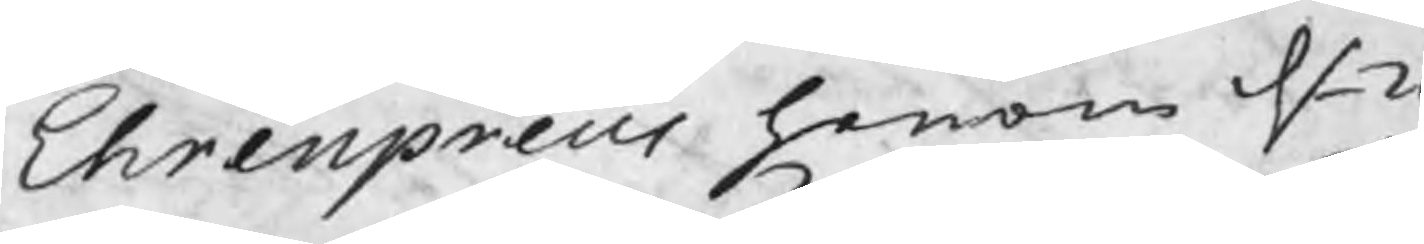Ehrenpreus honom d 2
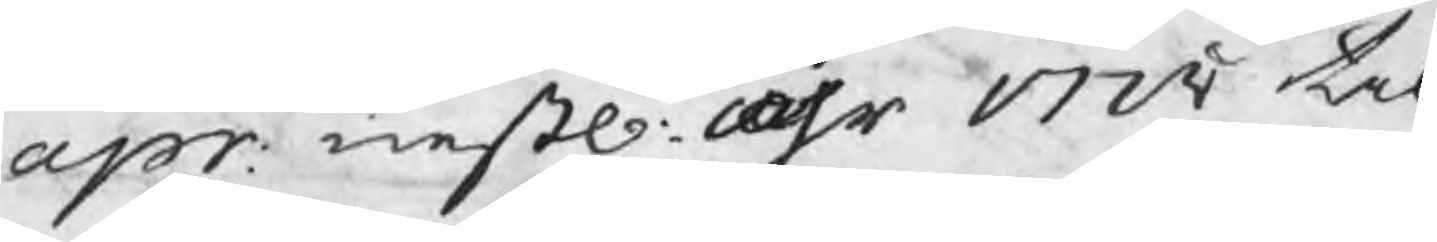apr: nestl: åhr 1728 til
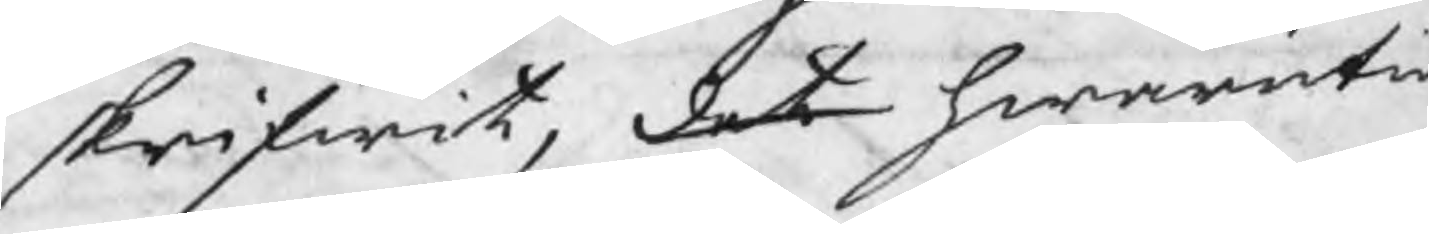skrifwit, det hwaruti
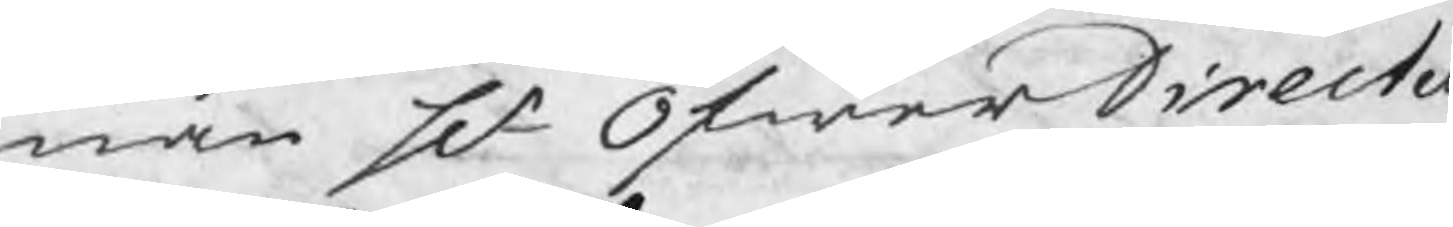nan Hr Öfwer Directe
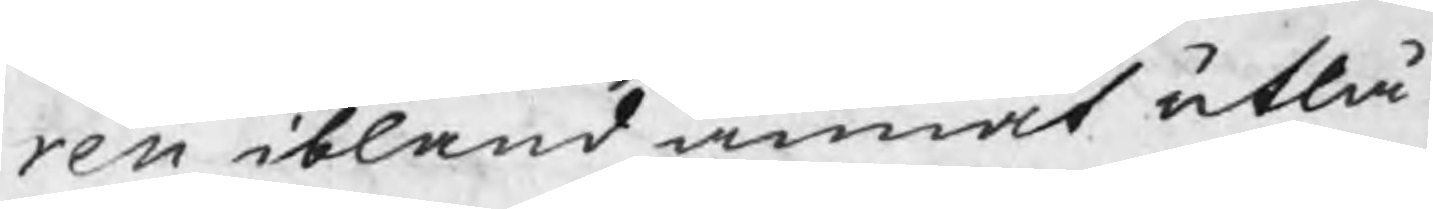ren ibland annat utlå¬
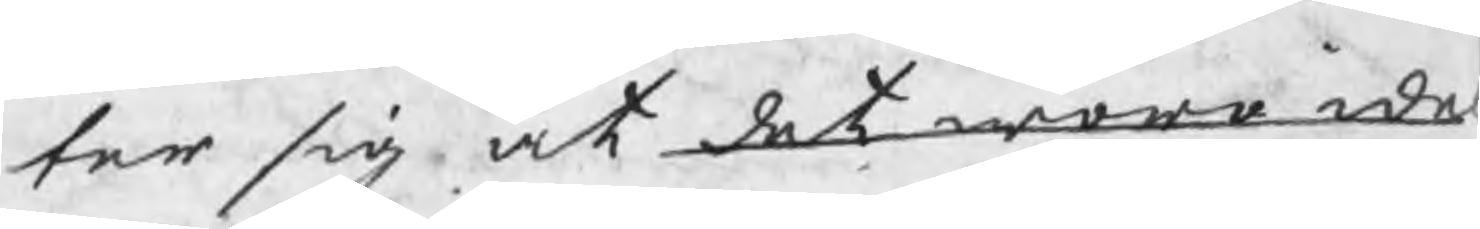ter sig at det woro ide
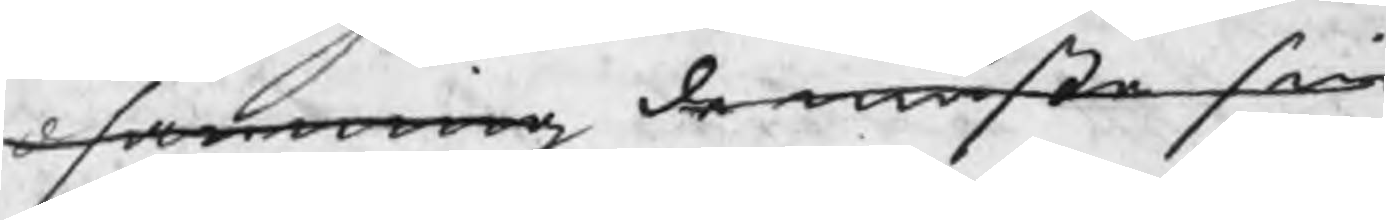d sanning de måste sin
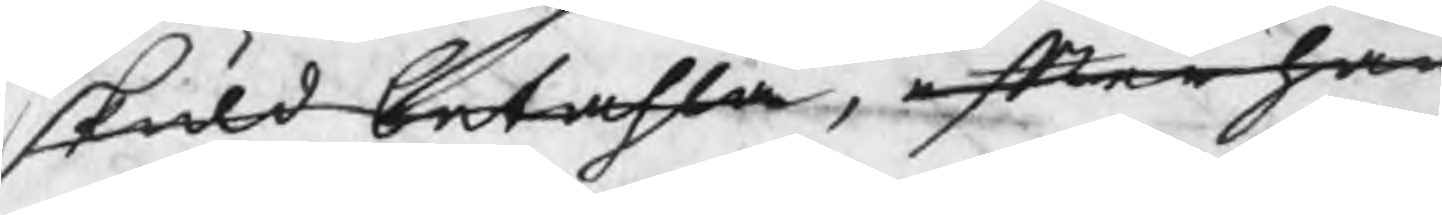skuld betahla, efter han
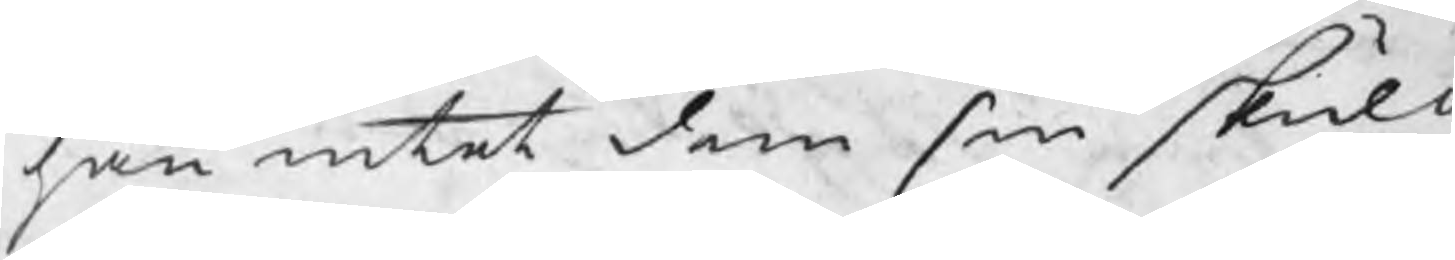han intet dem sin skuld
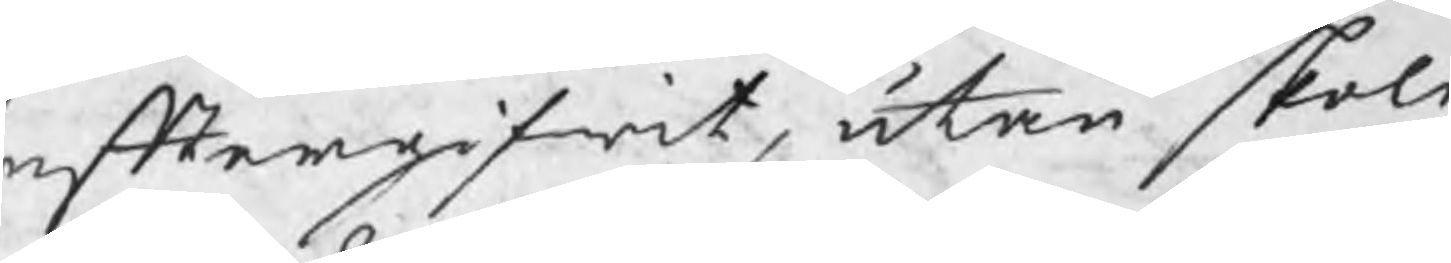eftergifwit, utan skole
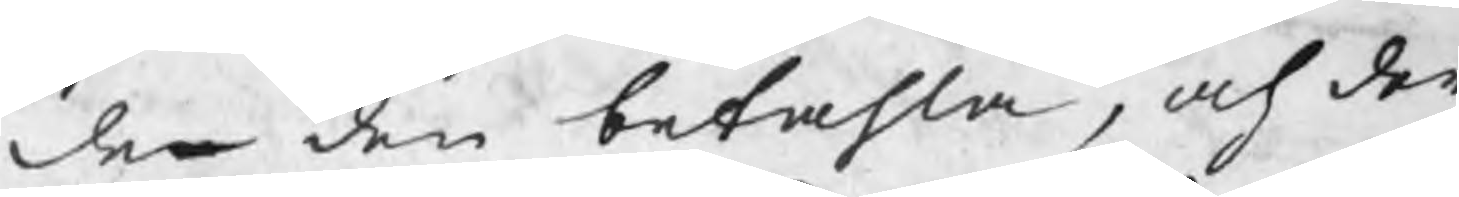den den betahla, och der
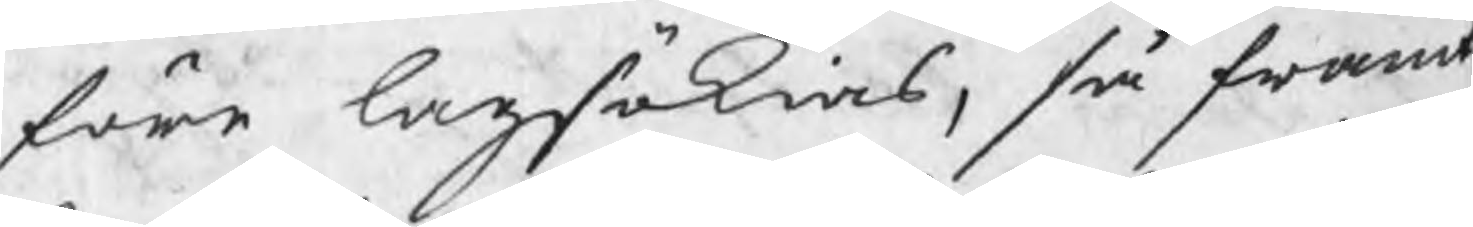före lagsökias, så framt
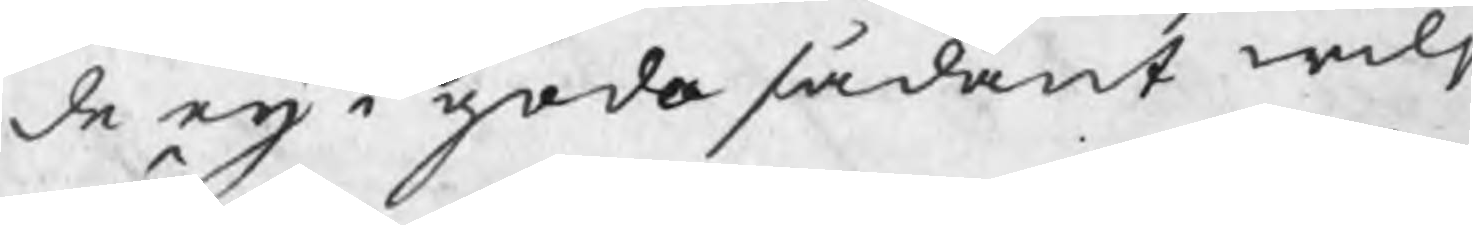de eij i godo sådant wilj
